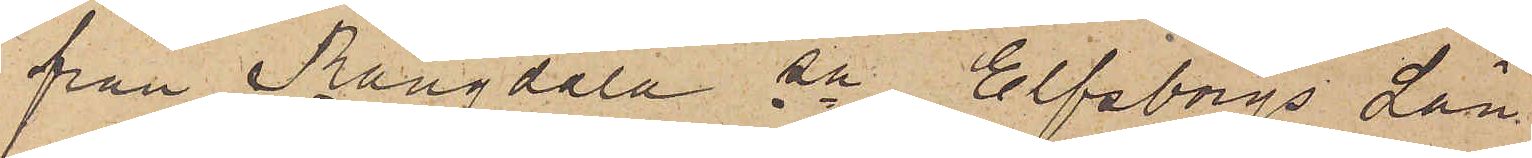från Rångdala sn Elfsborgs Län
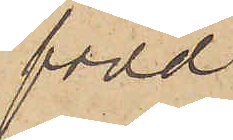född
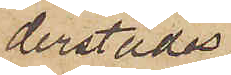derstädes
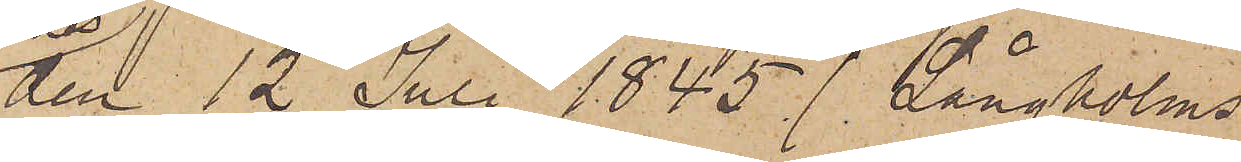den 12 Juli 1845 (Långholms
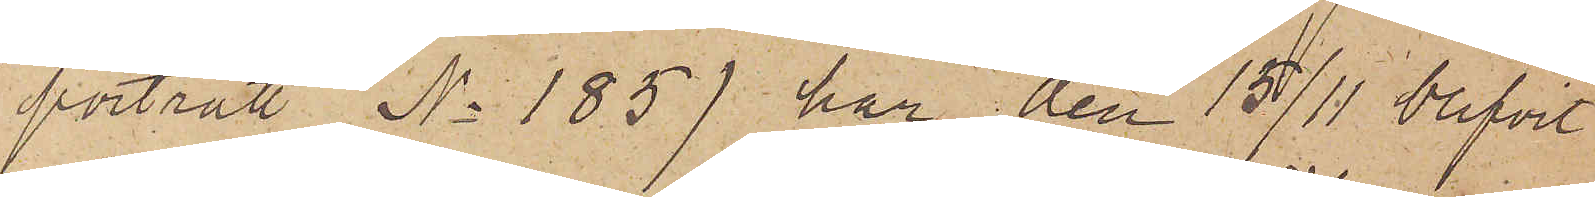porträtt No 185) har den 15/11 blifvit
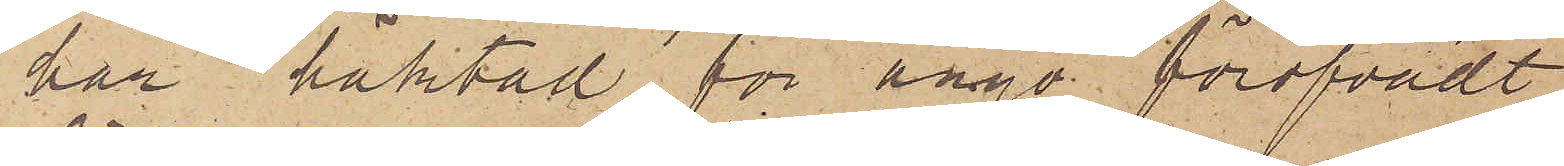här häktad för ånyo föröfvadt
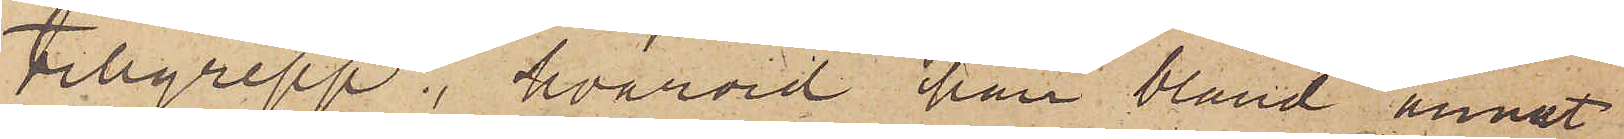tillgrepp, hvarvid han bland annat
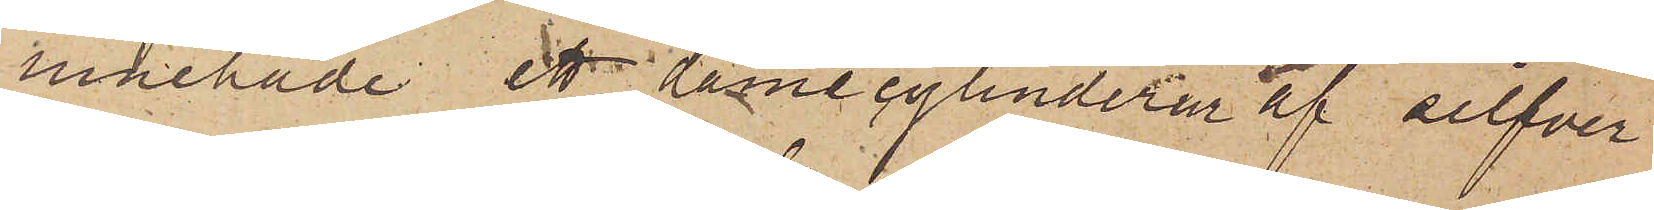innehade ett damecylinderur af silfver
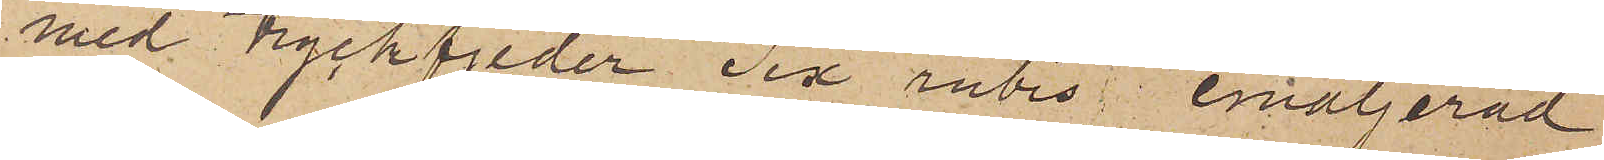med tryckfjeder "Six rubis" emaljerad
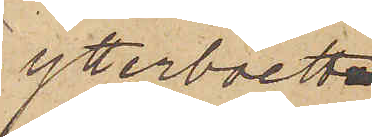ytterboett,
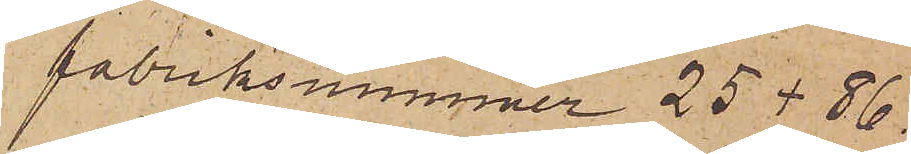fabriksnummer 25 + 86.
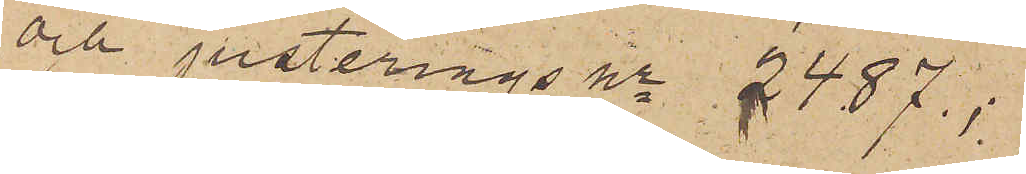och justerings nr 2487;
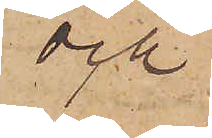och
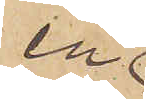en
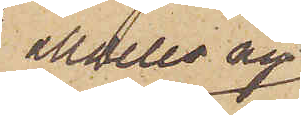alldeles ny
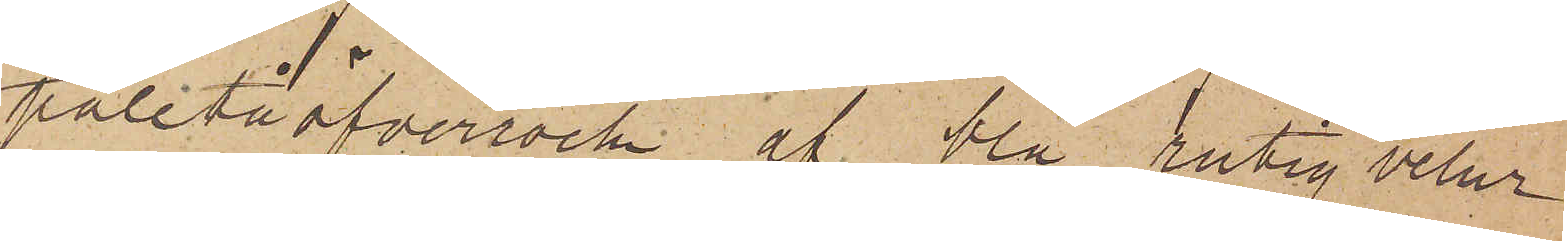paletåöfverrock af blå rutig velur
